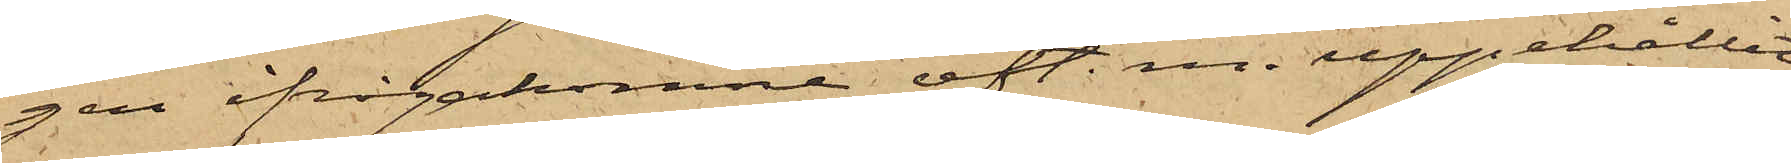gen ifrågakomne eft. m. uppehållit
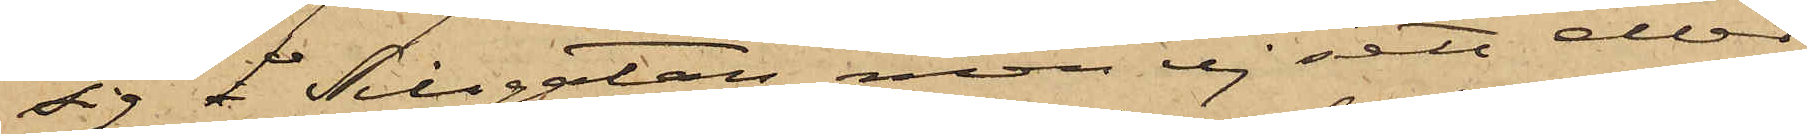sig å Sillgatan, men ej sett eller
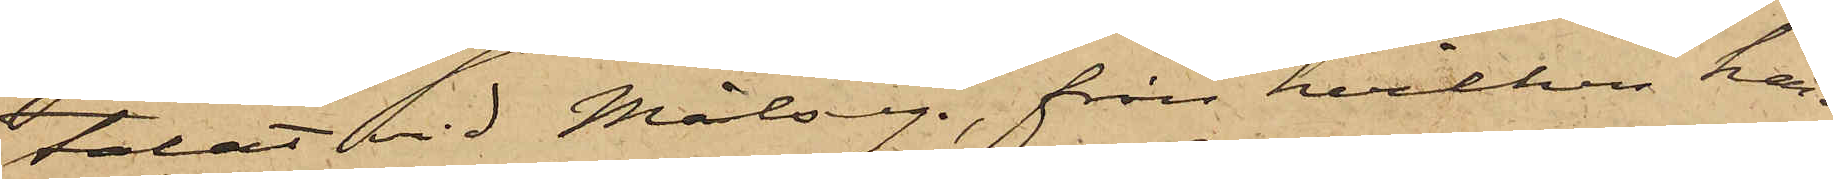talat vid Målseg., från hvilken han
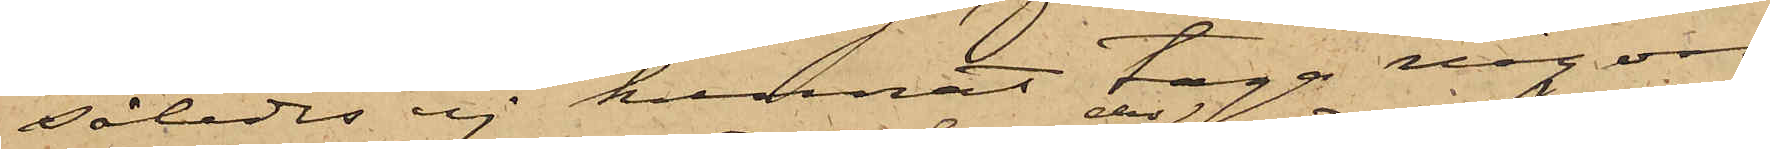således ej kunnat taga någon
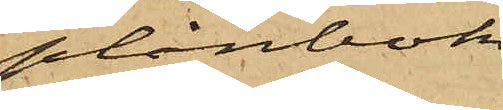plånbok
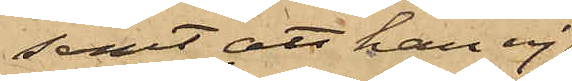samt att han ej
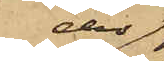der
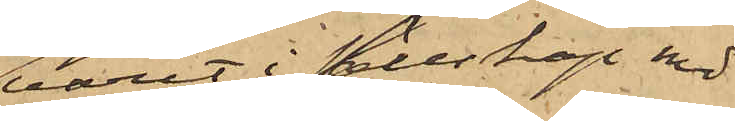varit i sällskap med
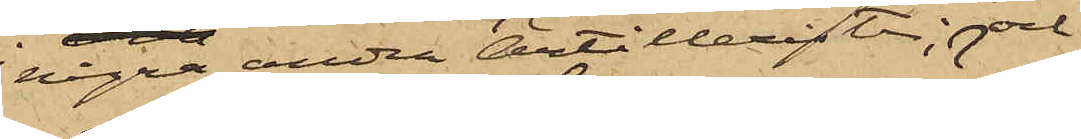några andra Artillerister; och
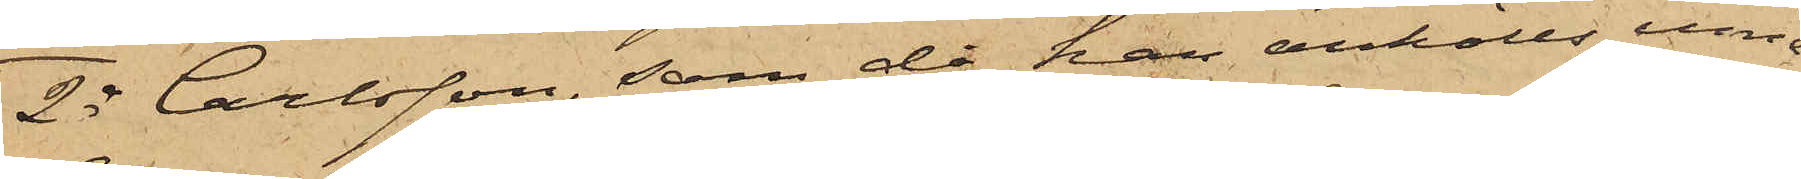2o Carlsson, som då han anhölls inne¬
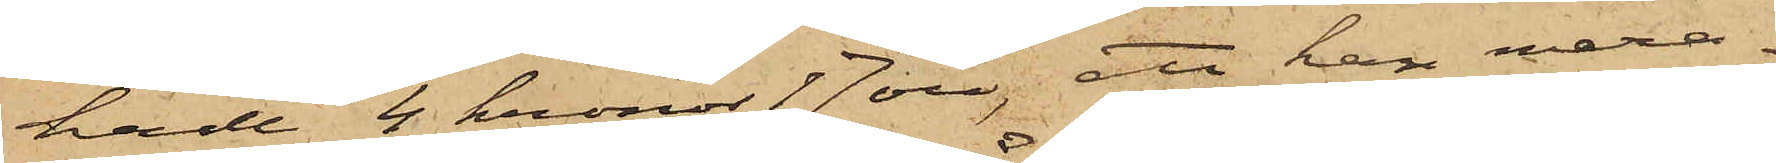hade 4 kronor 17 öre; att han mera¬
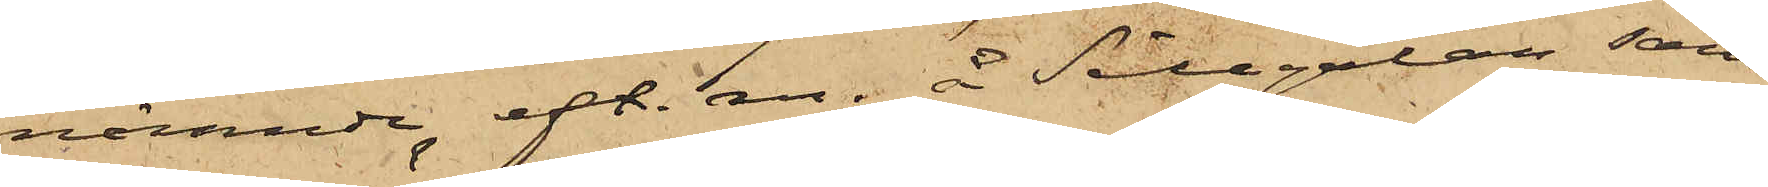nämnde eft. m. å Sillgatan sam¬
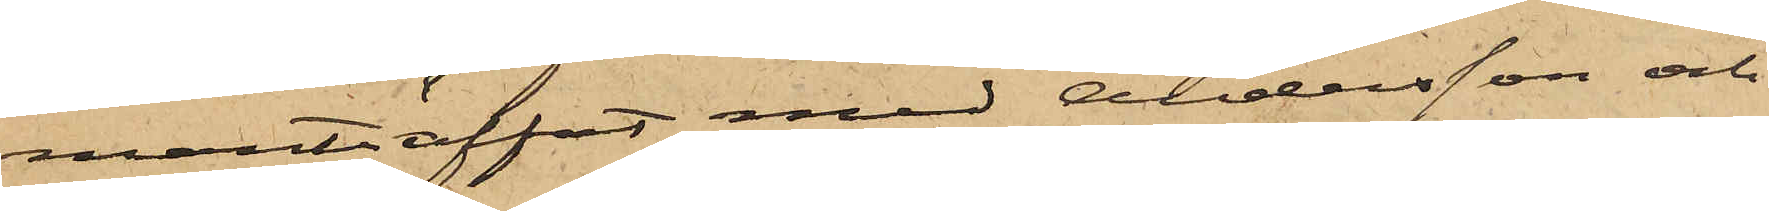manträffat med Andersson och
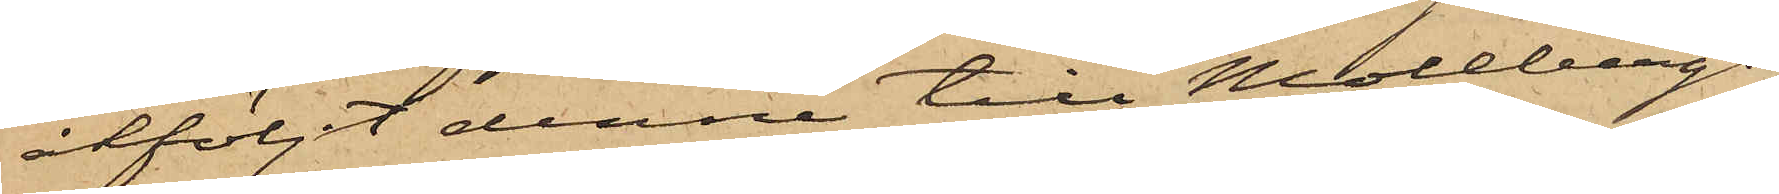åtföljt denne till Mollbergs
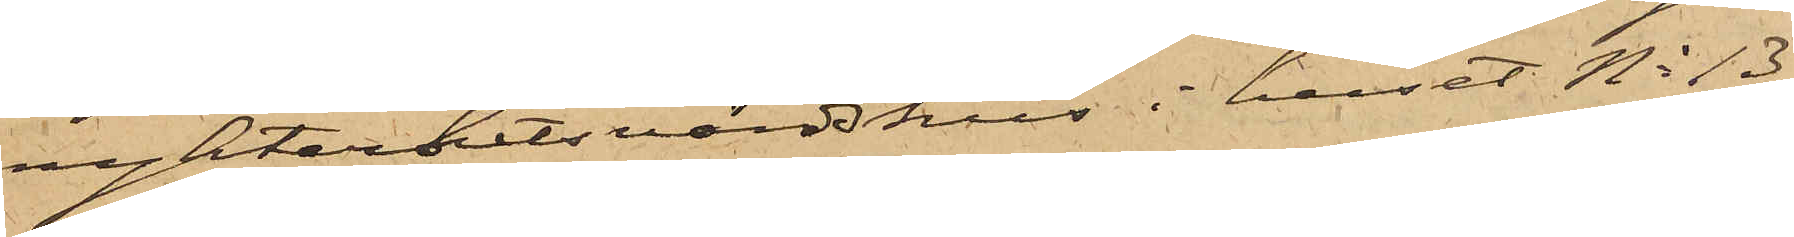nykterhetsvärdshus i huset No 13
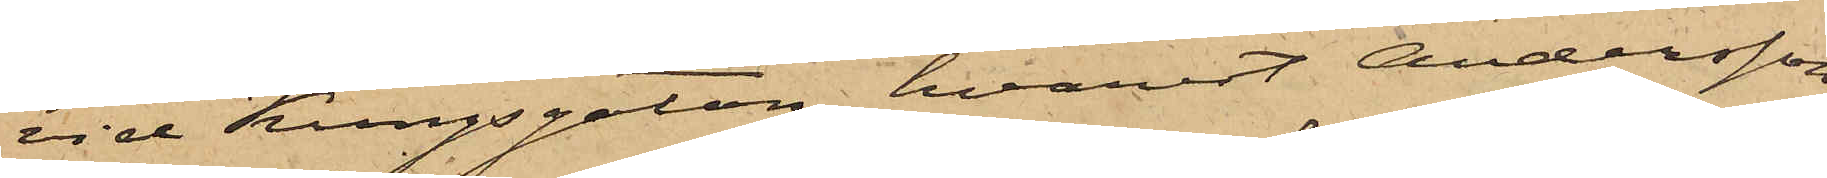vid Kungsgatan, hvarest Andersson
